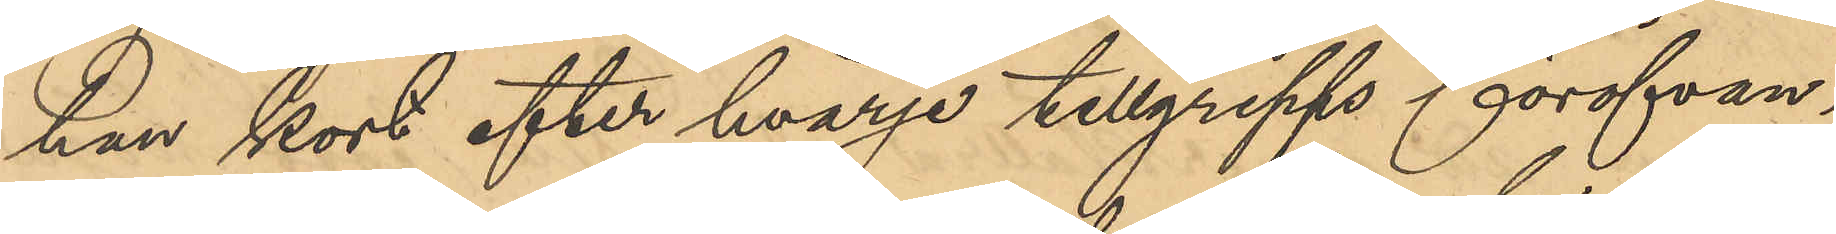hon kort efter hvarje tillgrepps föröfvan¬
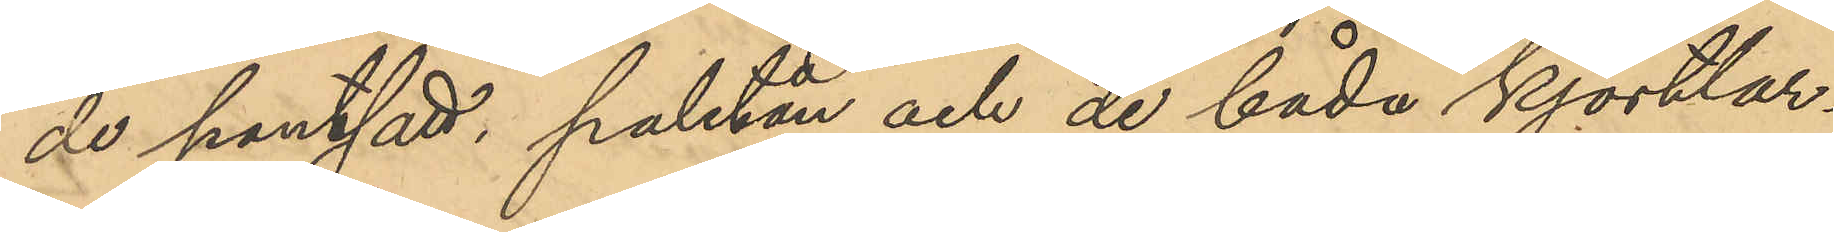de pantsatt, paletån och de båda kjortlar¬
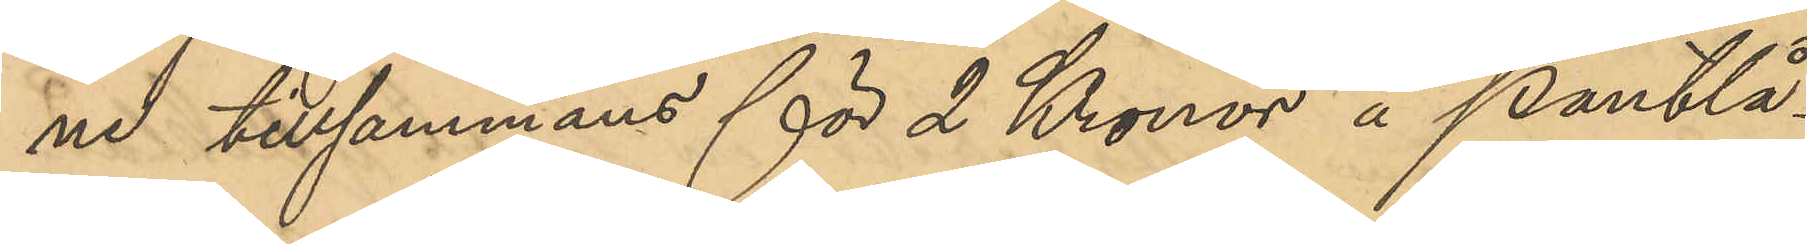na tillsammans för 2 Kronor å Pantlå¬
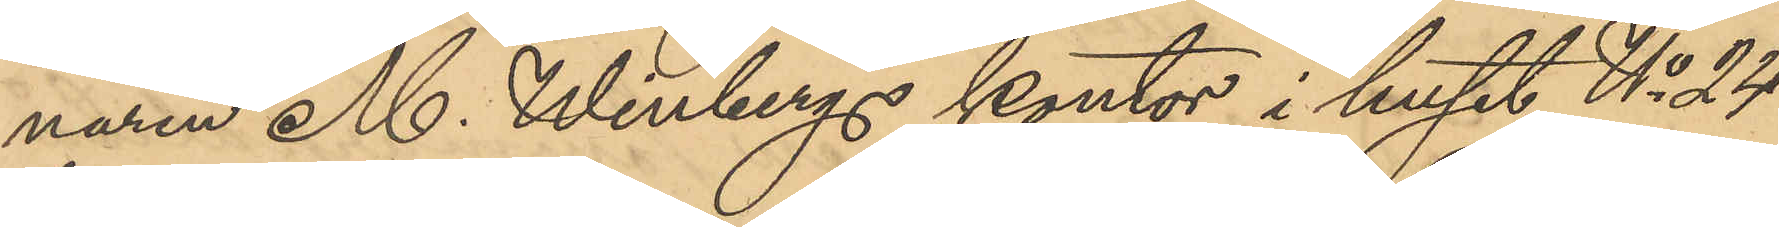naren M. Winbergs kontor i huset No 24
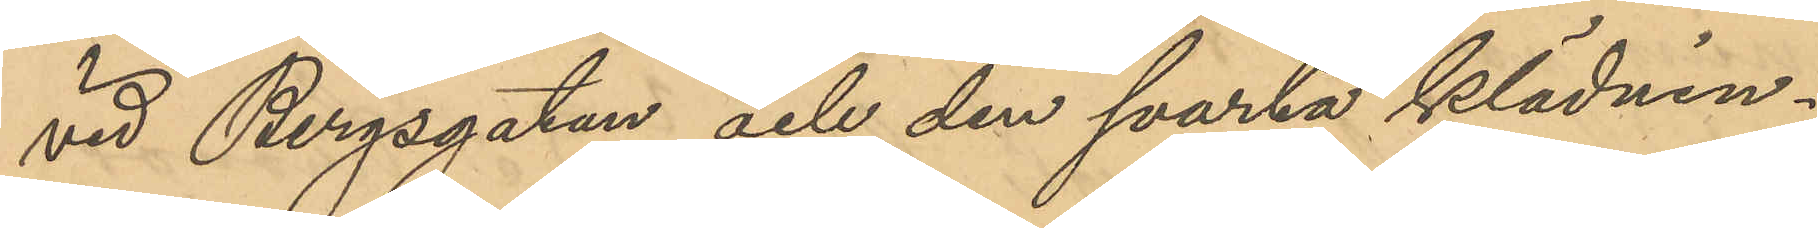vid Bergsgatan och den svarta klädnin¬
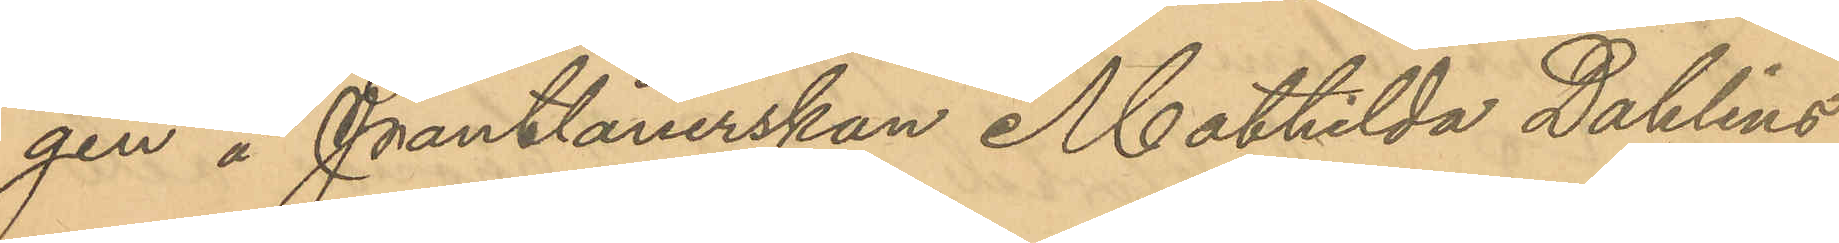gen å Pantlånerskan Mathilda Dahlins
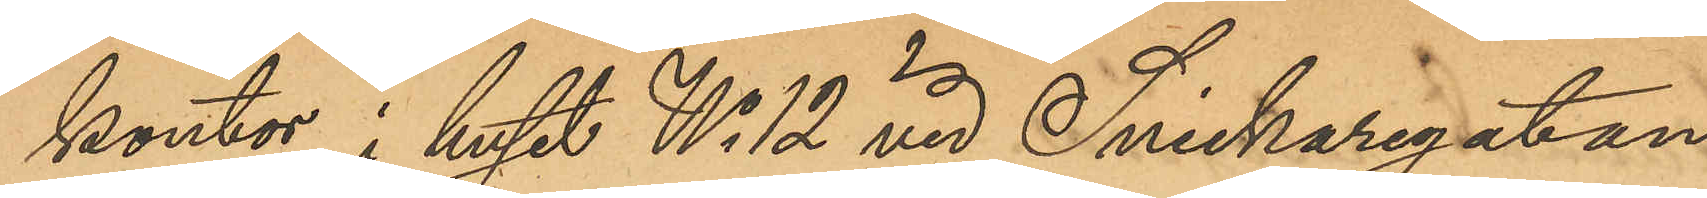kontor i huset No 12 vid Snickaregatan
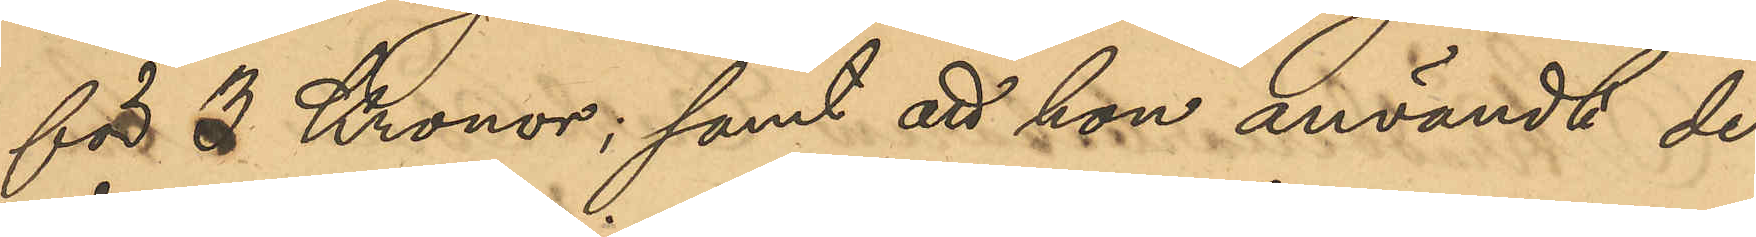för 3 Kronor; samt att hon användt de
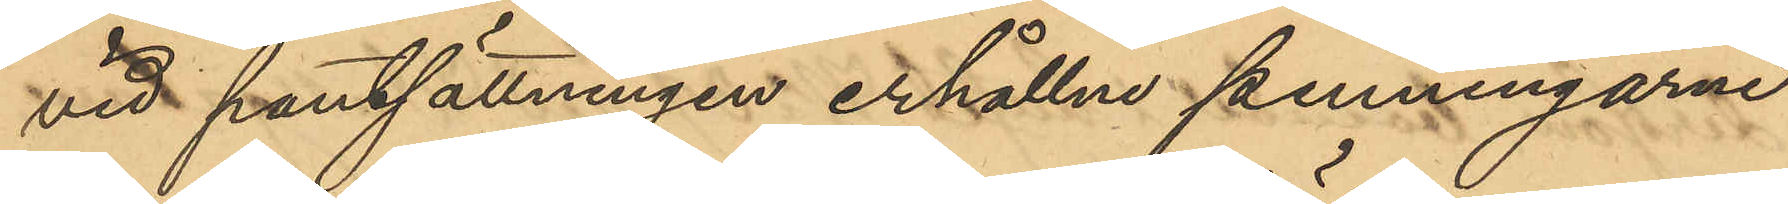vid pantsättningen erhållne penningarne
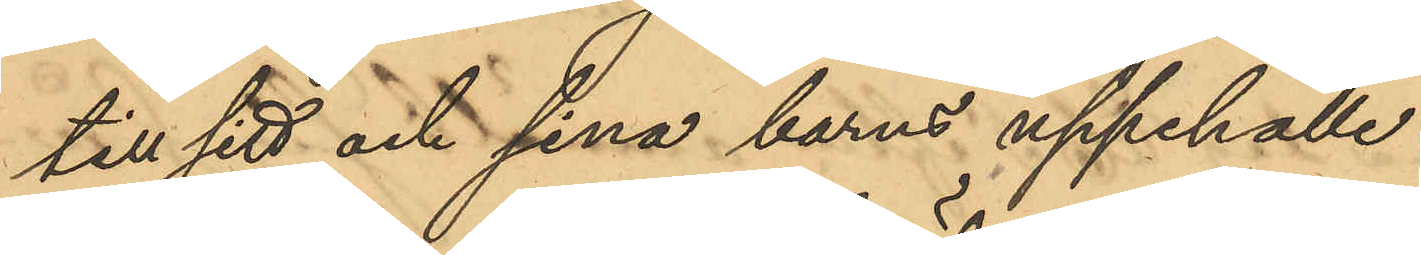till sitt och sina barns uppehälle.
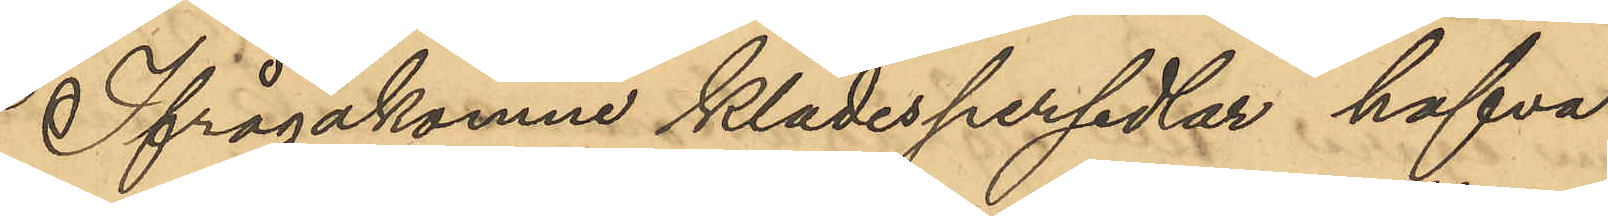Ifrågakomne klädespersedlar hafva
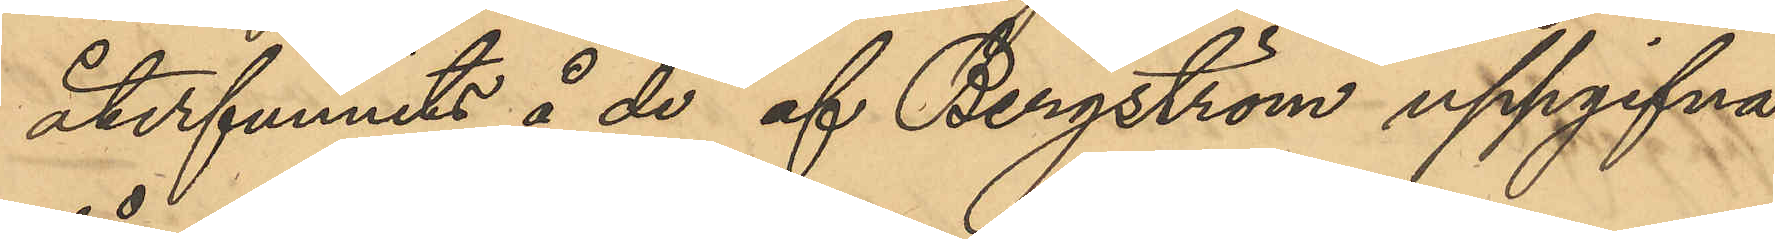återfunnits å de af Bergström uppgifvna
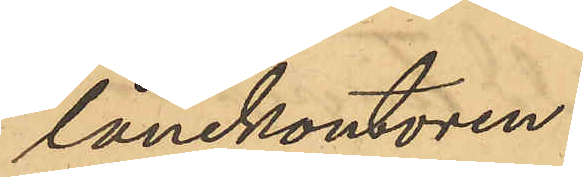lånekontoren.
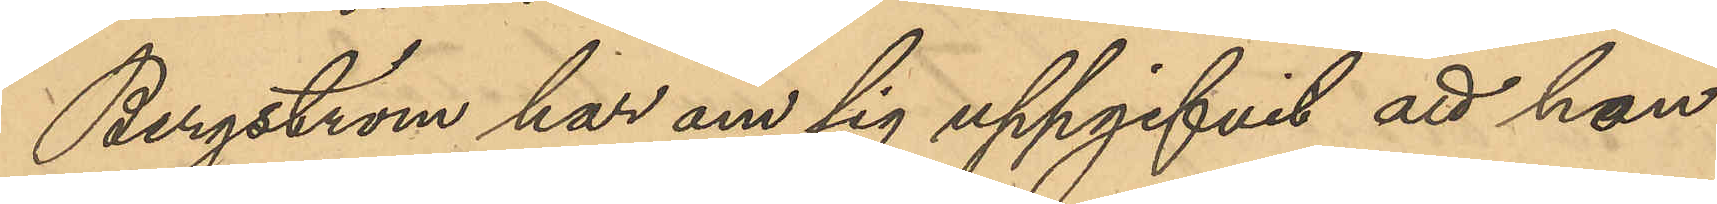Bergström har om sig uppgifvit att hon
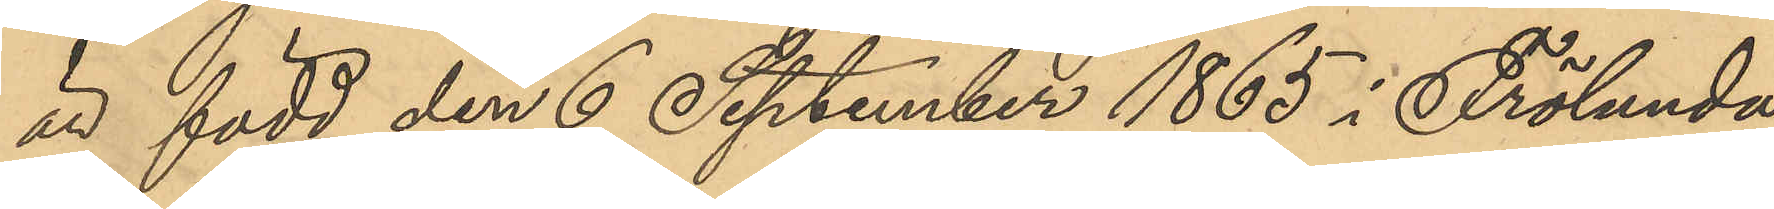är född den 6 September 1865 i Frölunda
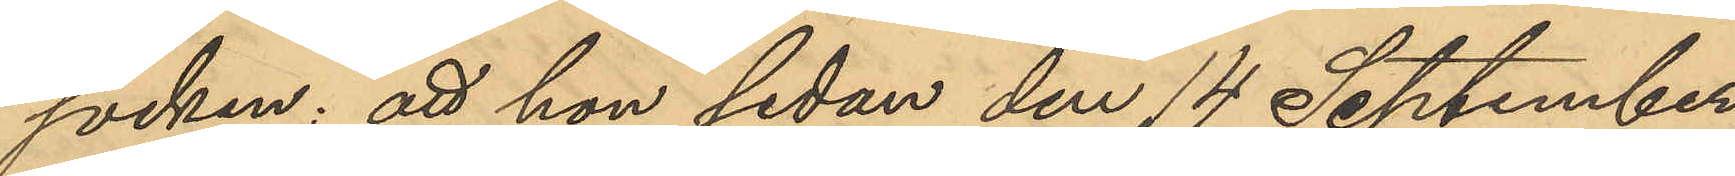socken; att hon sedan den 14 September
